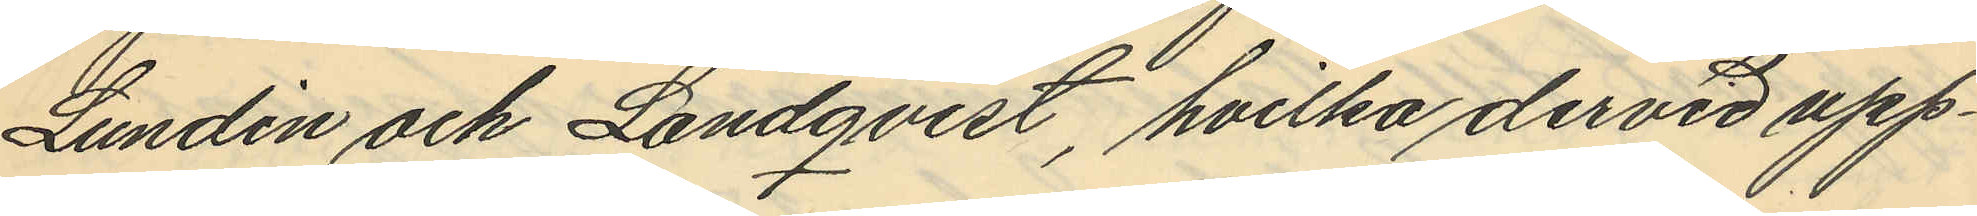Lundin och Landqvist, hvilka dervid upp¬
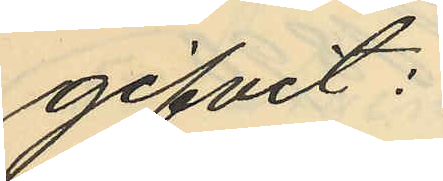gifvit:
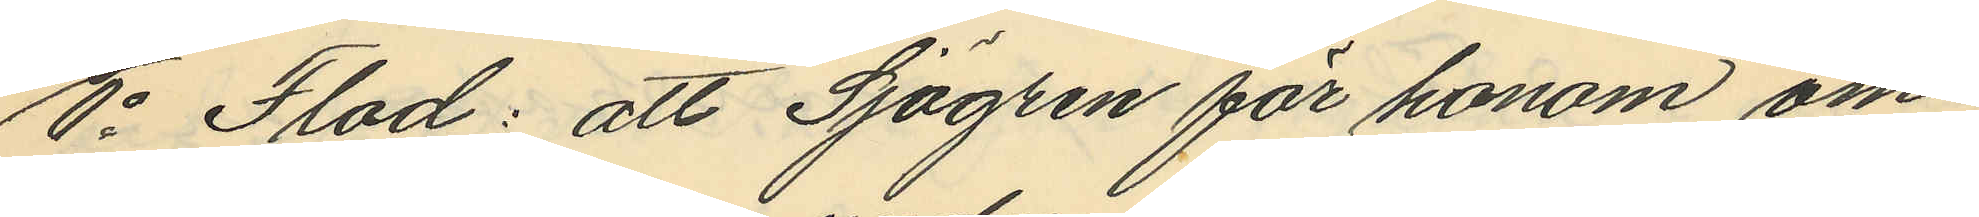1o Flod: att Sjögren för honom om¬
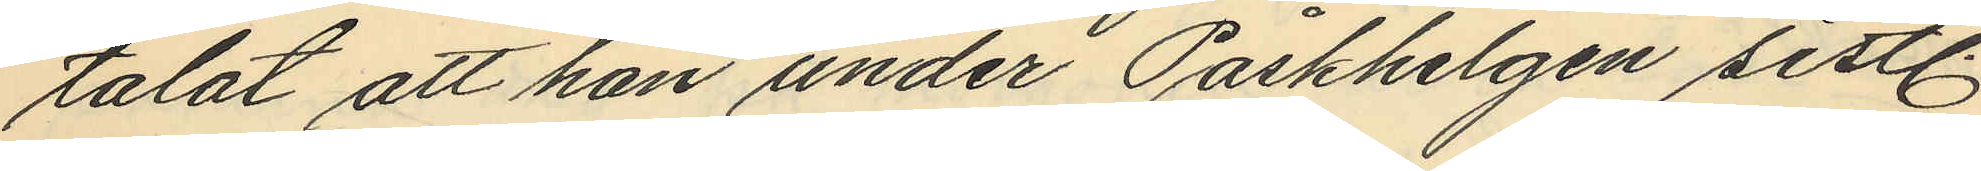talat att han under Påskhelgen sistl.
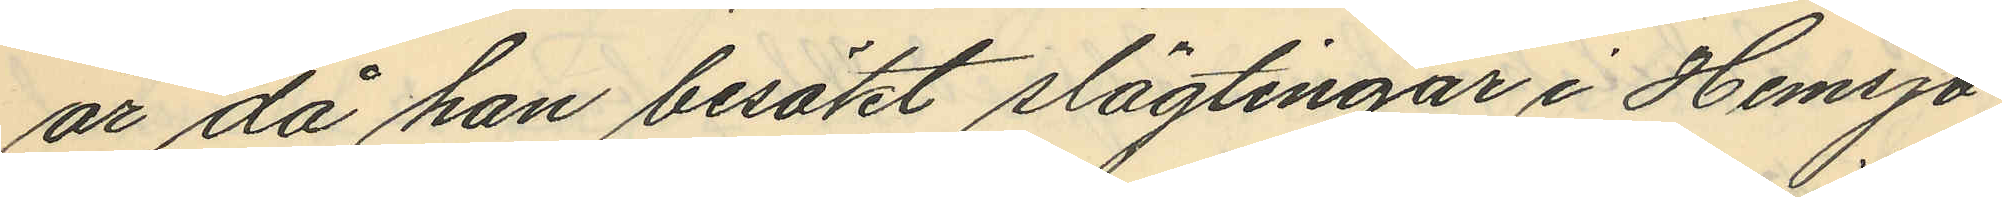år då han besökt slägtingar i Hemsjö
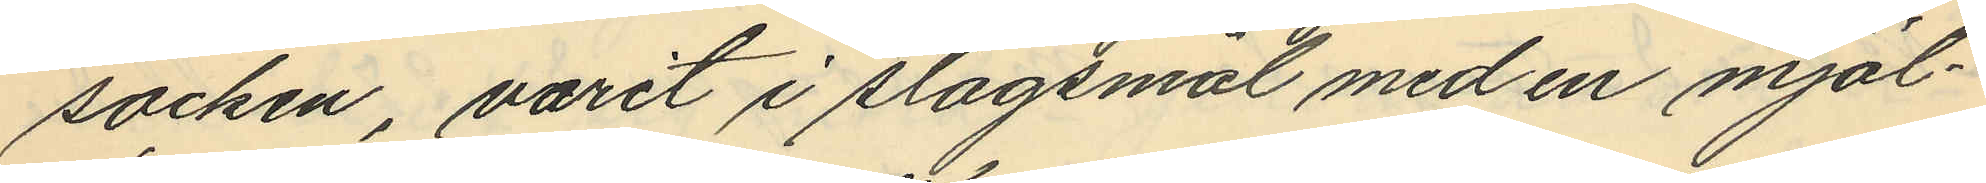socken, varit i slagsmål med en mjöl¬
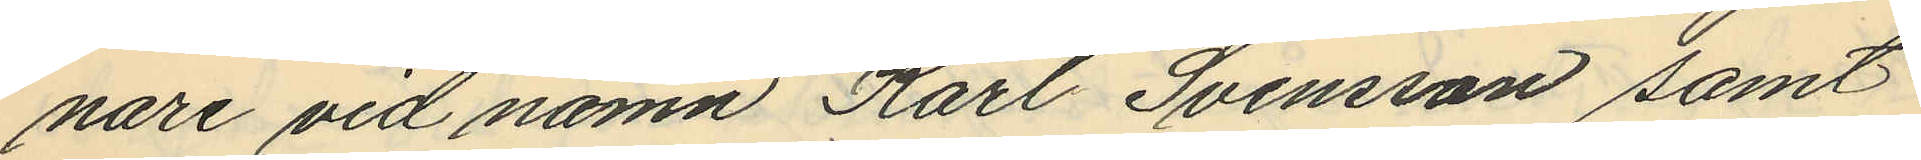nare vid namn Karl Svensson samt
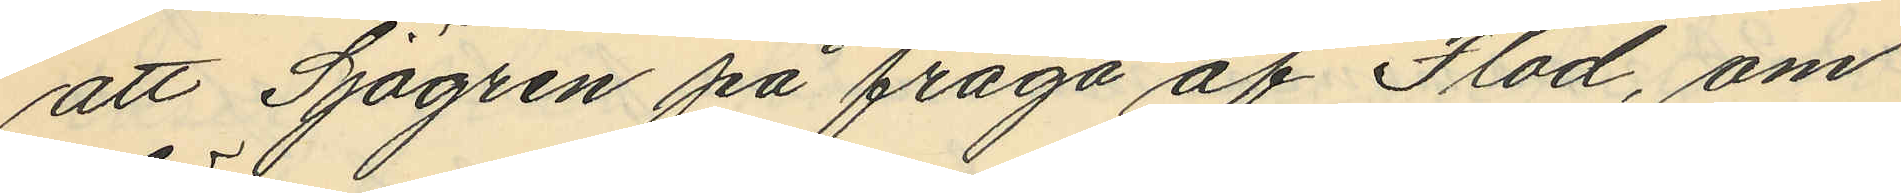att Sjögren på fråga af Flod, om
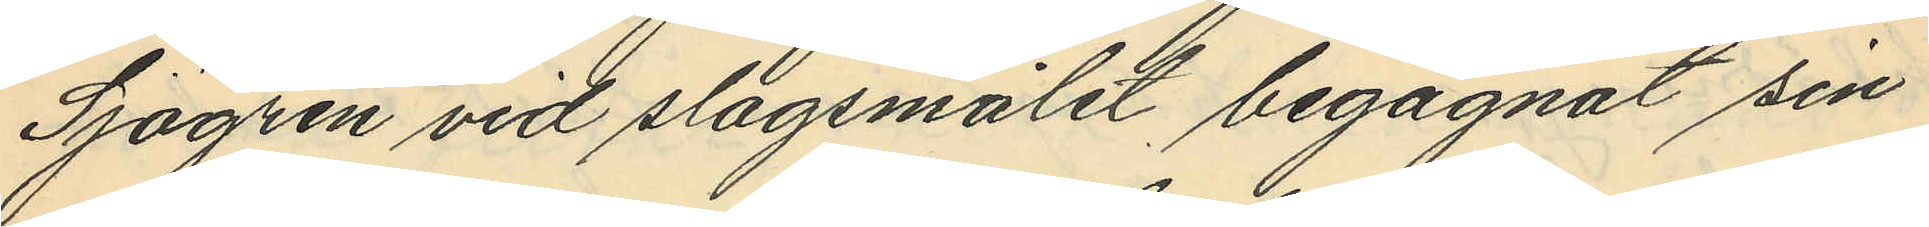Sjögren vid slagsmålet begagnat sin
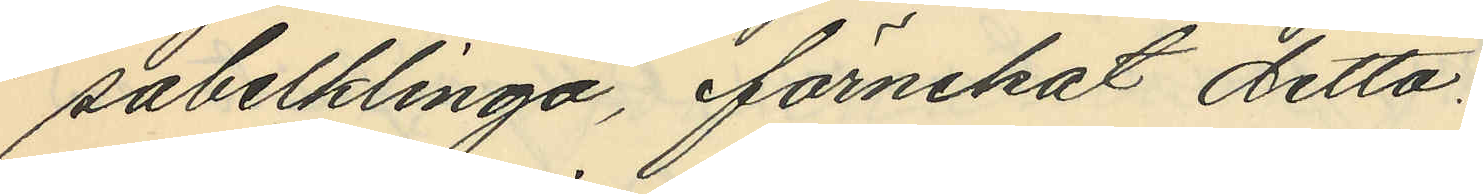sabelklinga, förnekat detta.
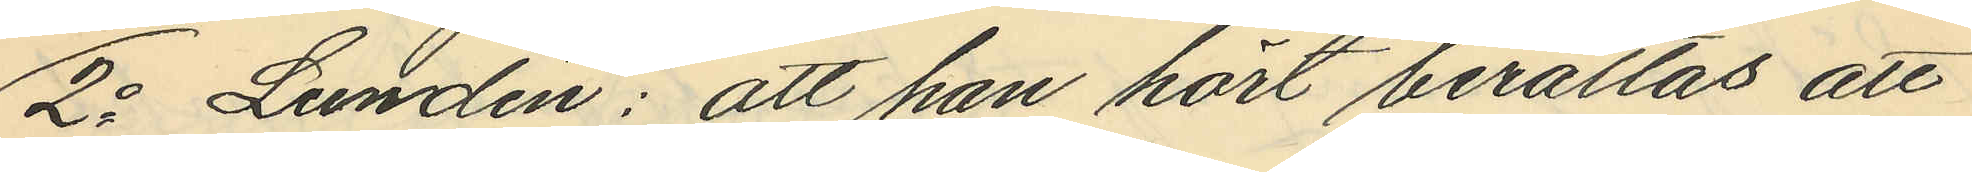2o Lundin: att han hört berättas att
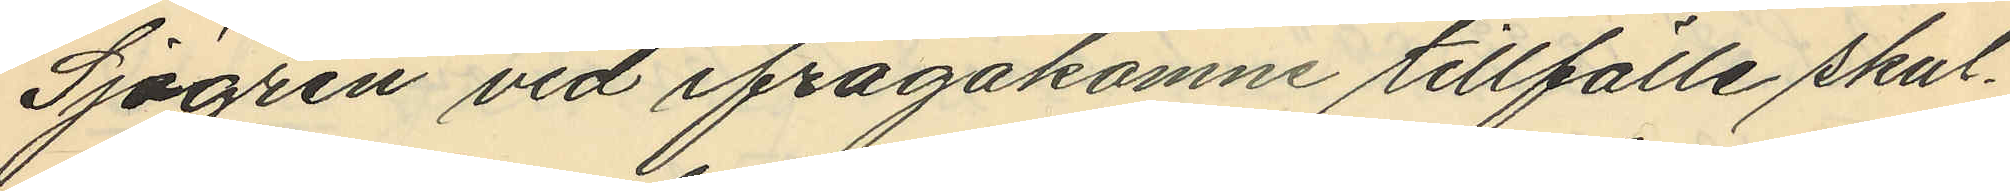Sjögren vid ifrågakomne tillfälle skul¬
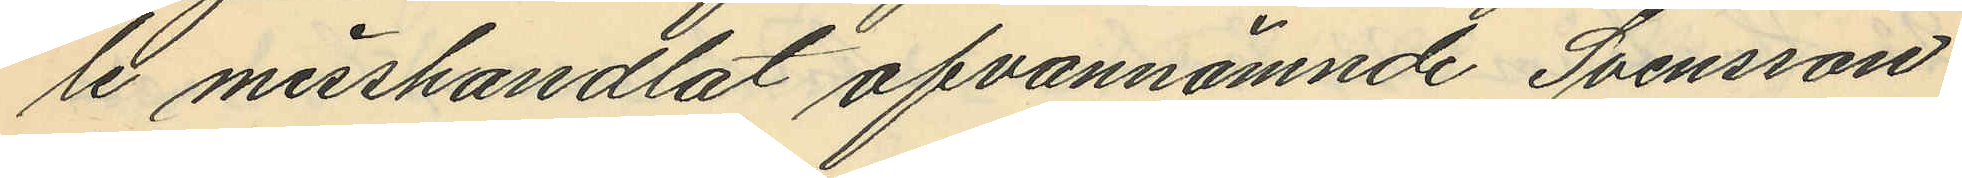le misshandlat ofvannämnde Svensson
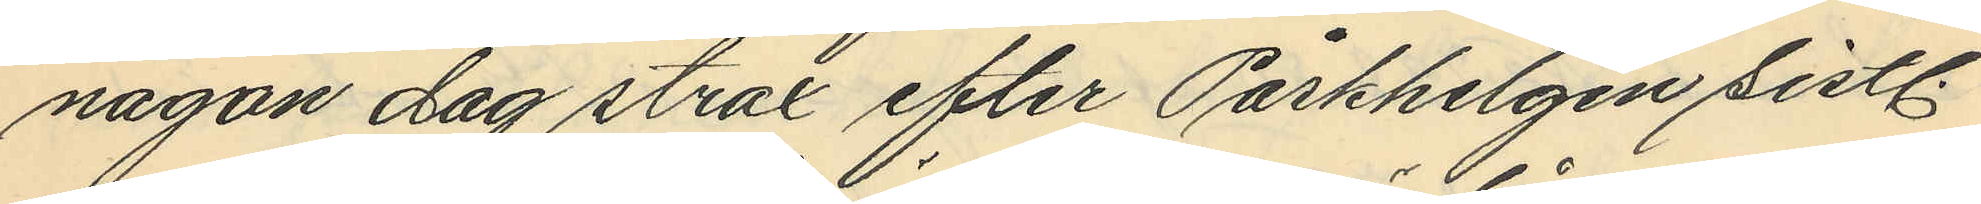någon dag strax efter Påskhelgen sistl.
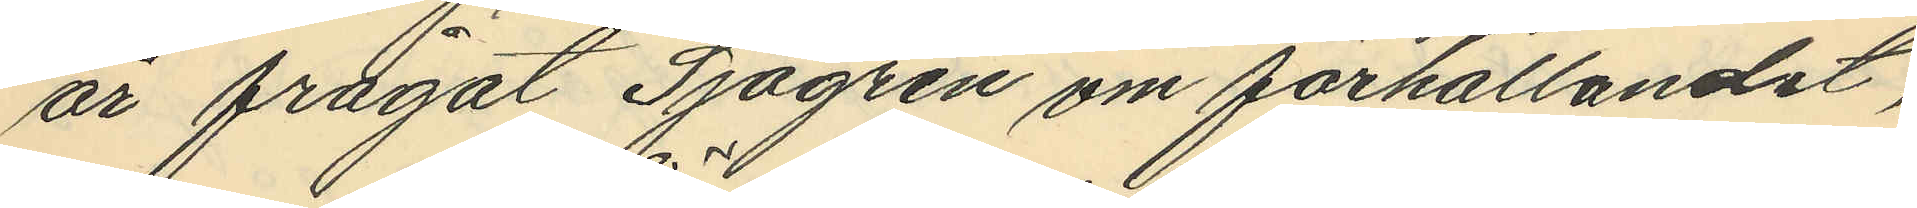år frågat Sjögren om förhållandet,
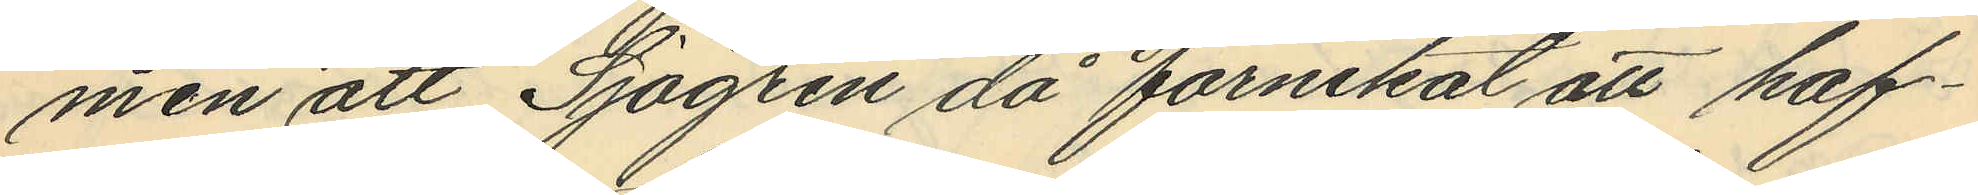men att Sjögren då förnekat att haf¬
